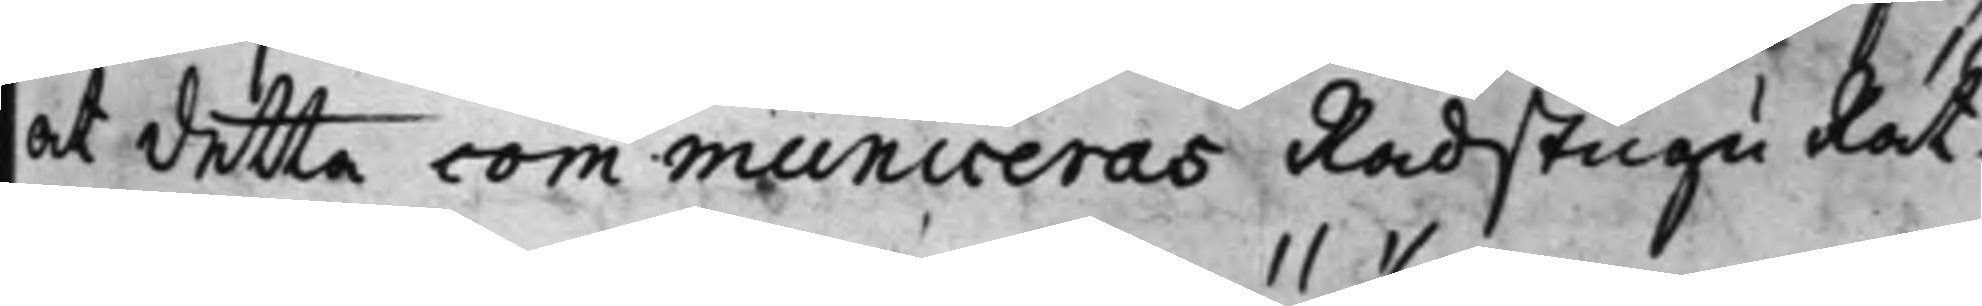at detta communiceras Rådstugu Rät¬
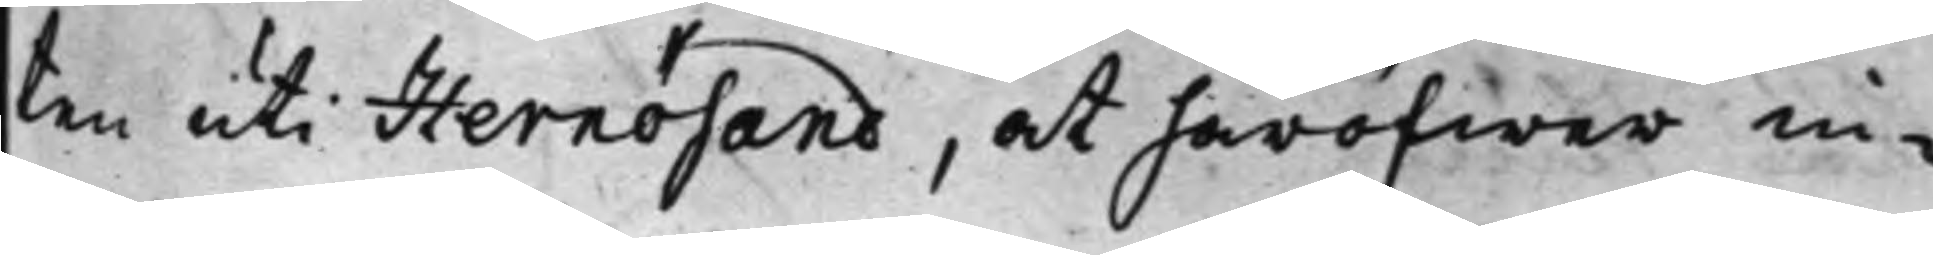ten uti Hernösand, at häröfwer in¬
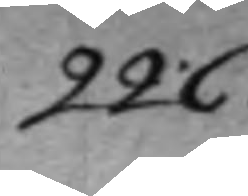226.
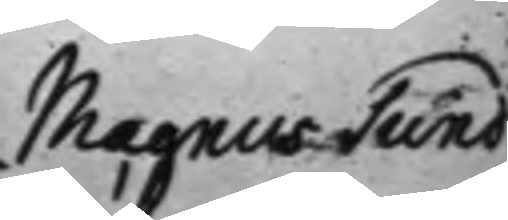Magnus Sund¬
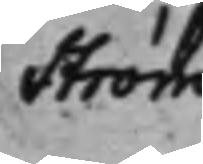ström
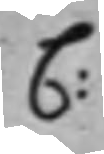C:
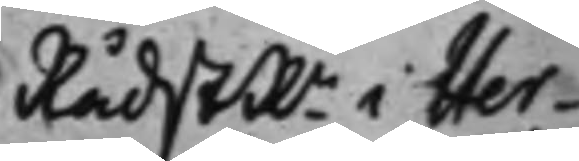Rådst.n i Her¬ 
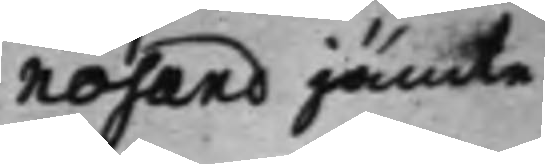nösand jämte
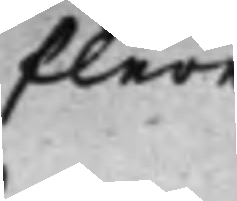flere
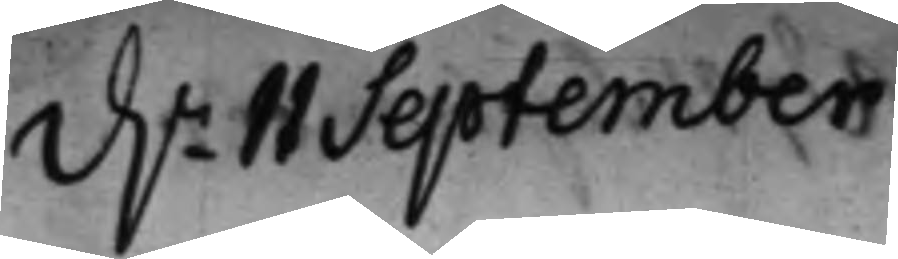d.n 11 September
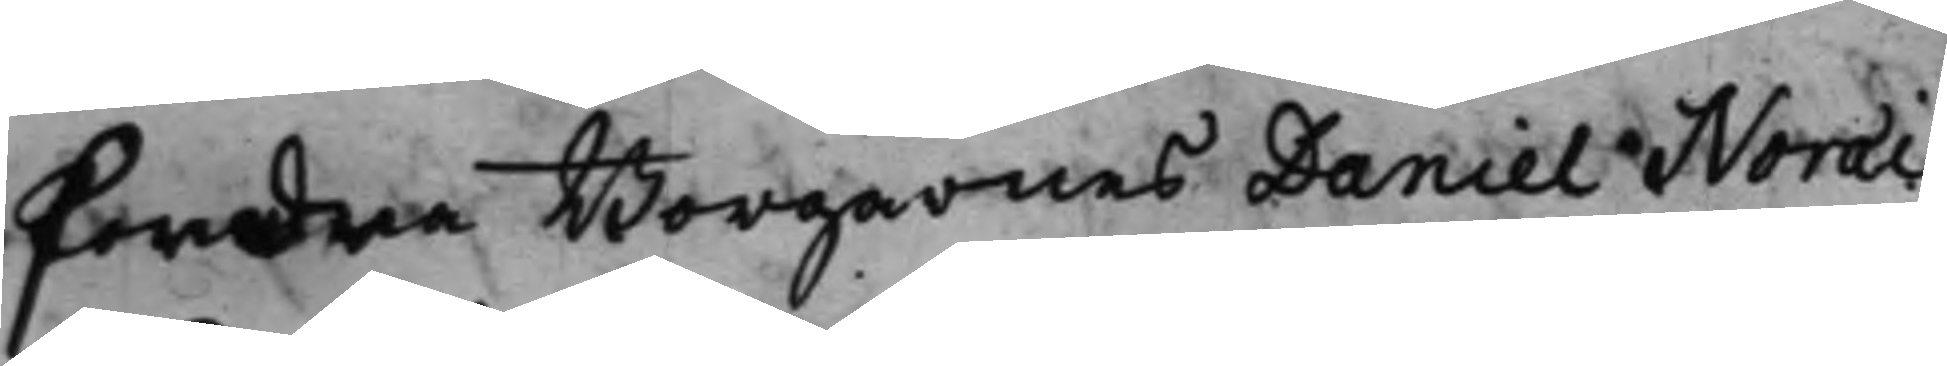fordra Borgarnes Daniel Noræi,
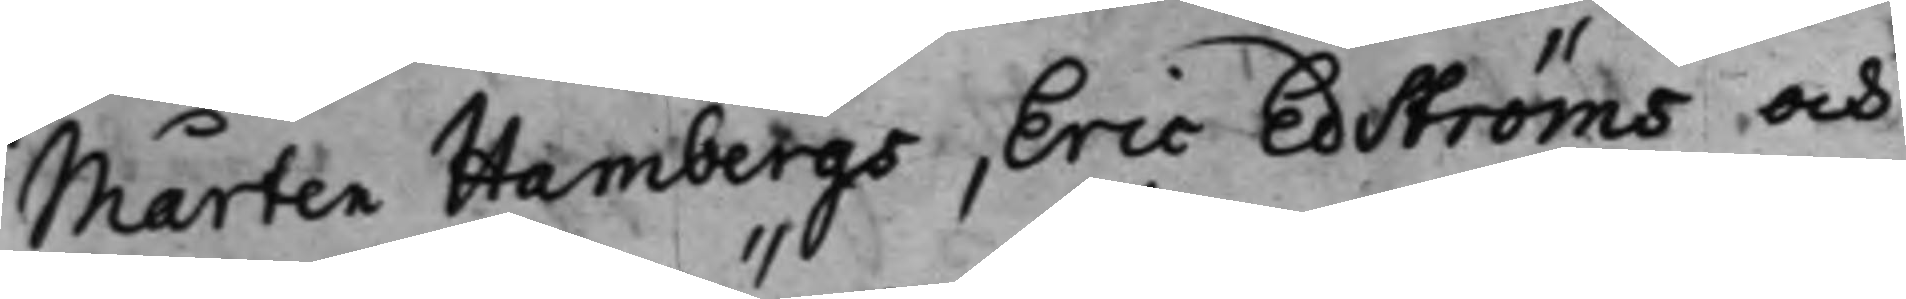Mårten Hambergs, Eric Edströms och
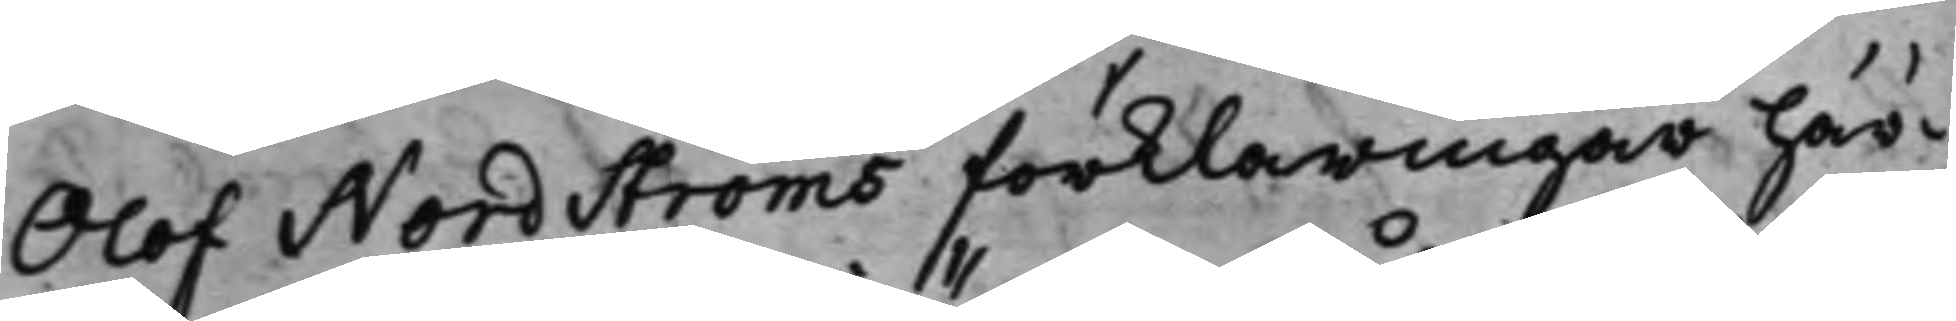Olof Nordströms förklaringar här¬
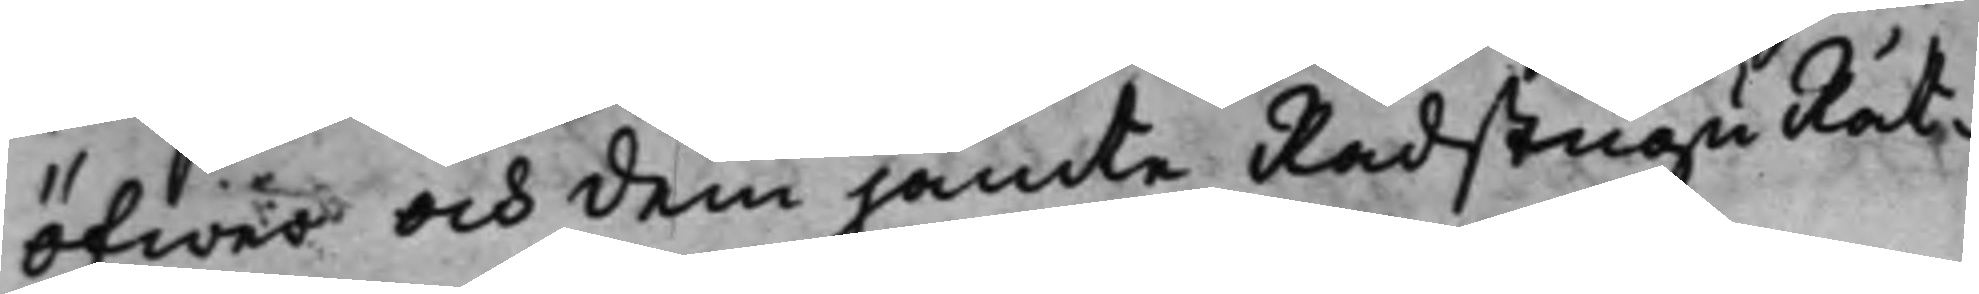öfwer och dem jämte RådstuguRät¬
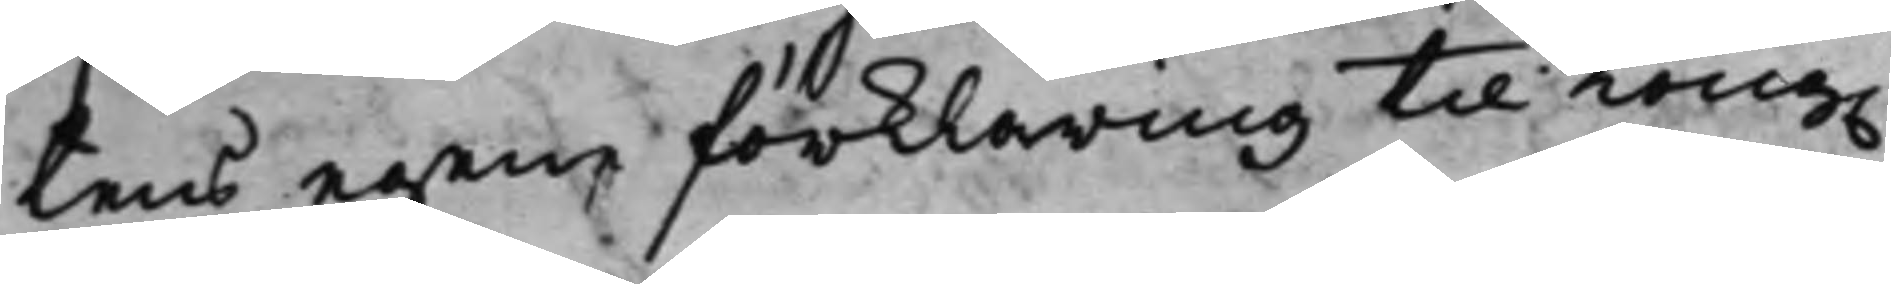tens egen förklaring til Kong.
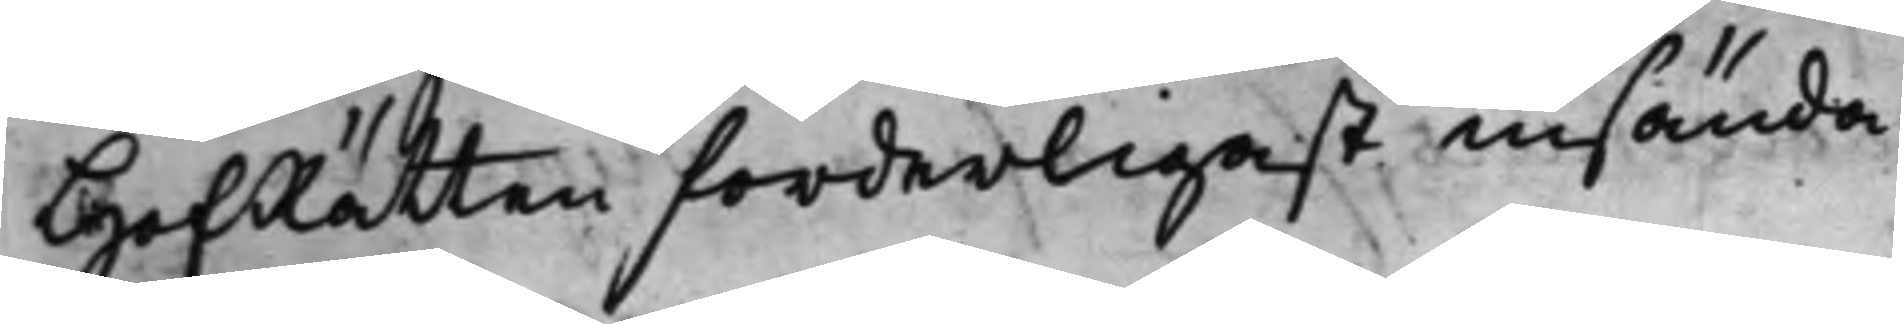HofRätten forderligast insända.
